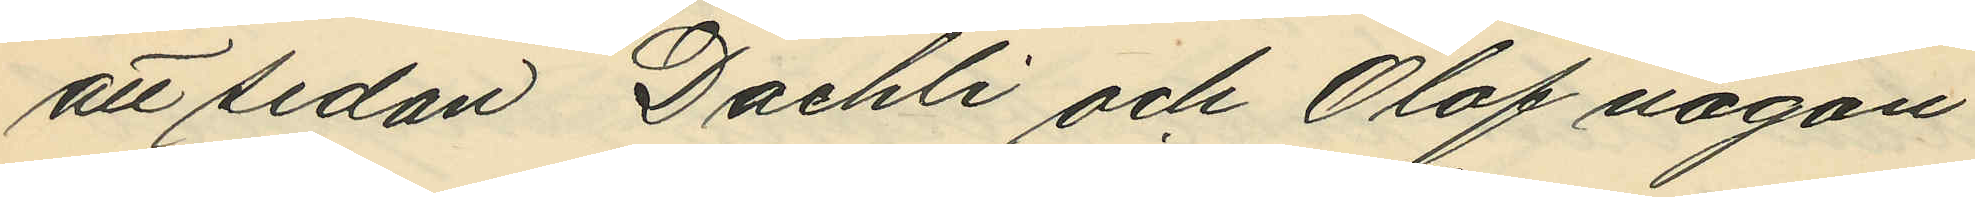att sedan Daehli och Olof någon
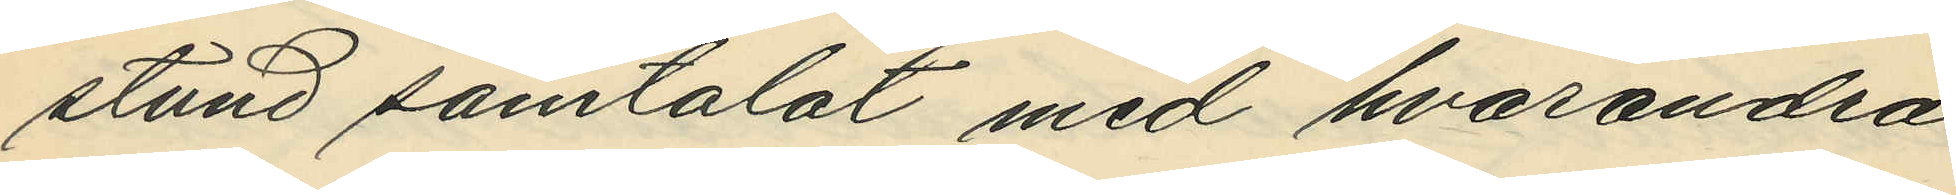stund samtalat med hvarandra
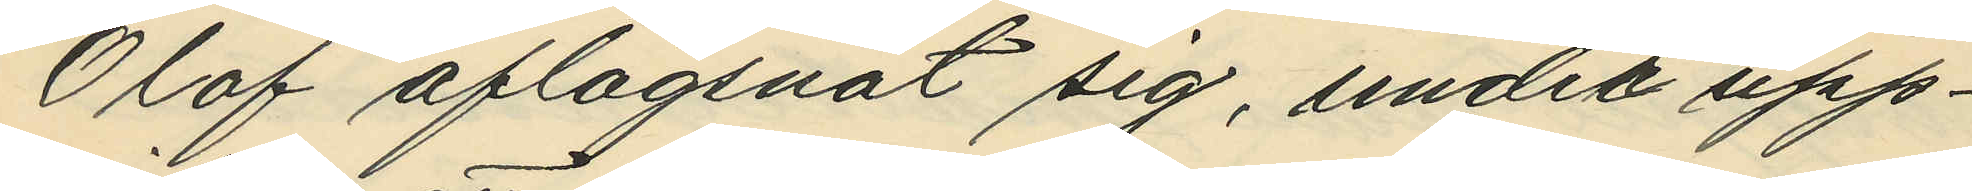Olof aflägsnat sig, under upp¬
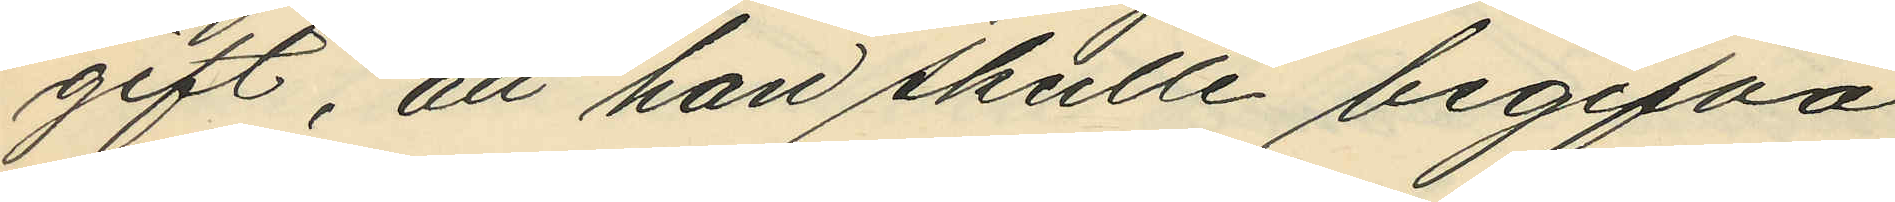gift, att han skulle begifva
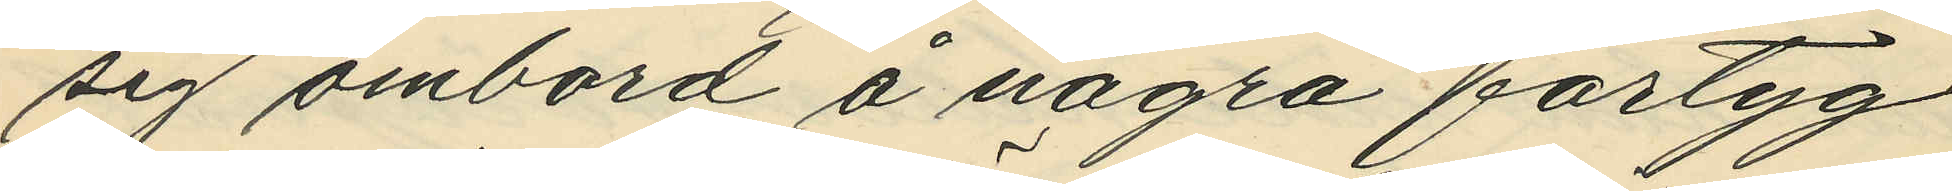sig ombord å några fartyg
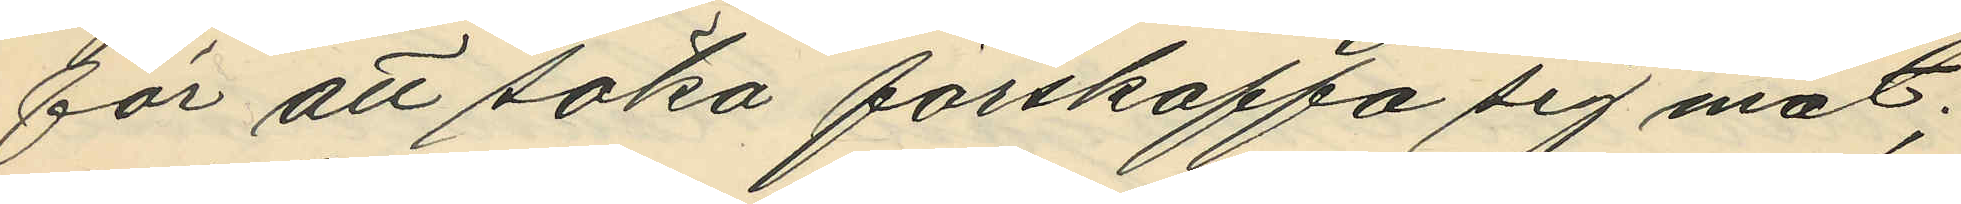för att söka förskaffa sig mat;
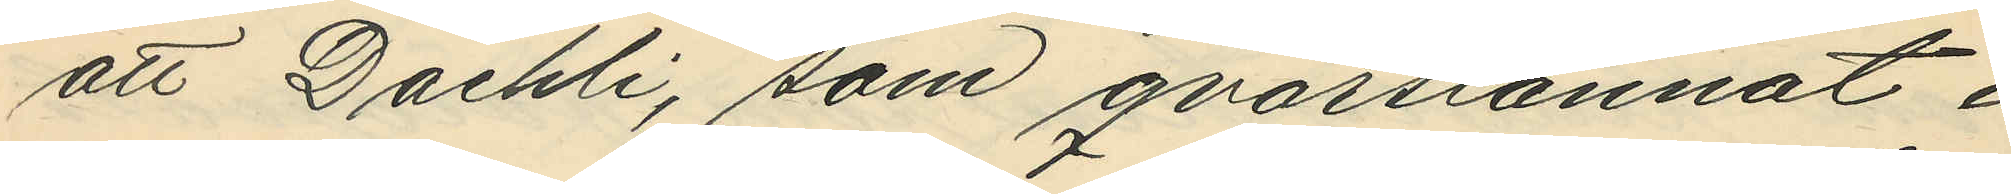att Daehli, som qvarstannat i
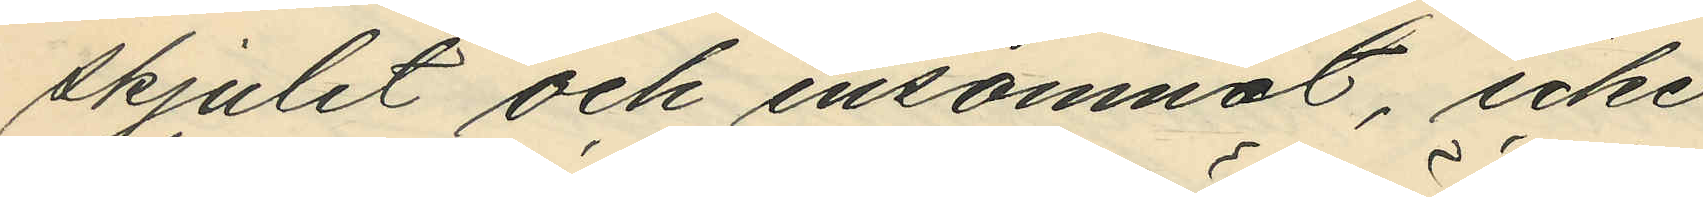skjulet och insomnat, icke
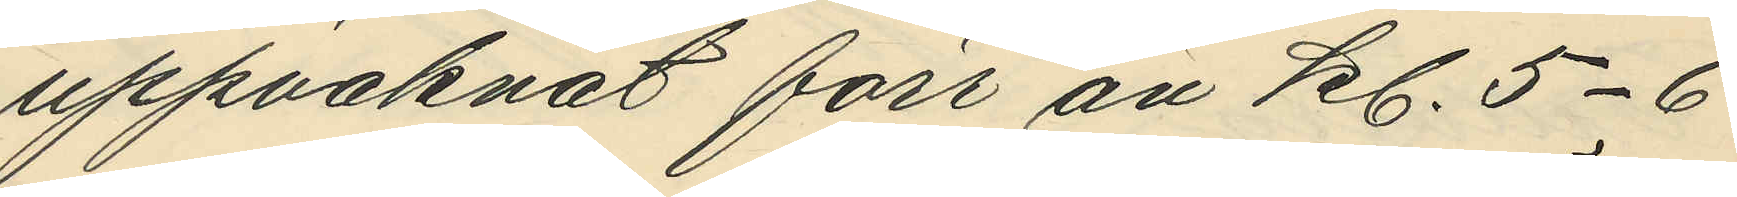uppvaknat förr än kl. 5-6
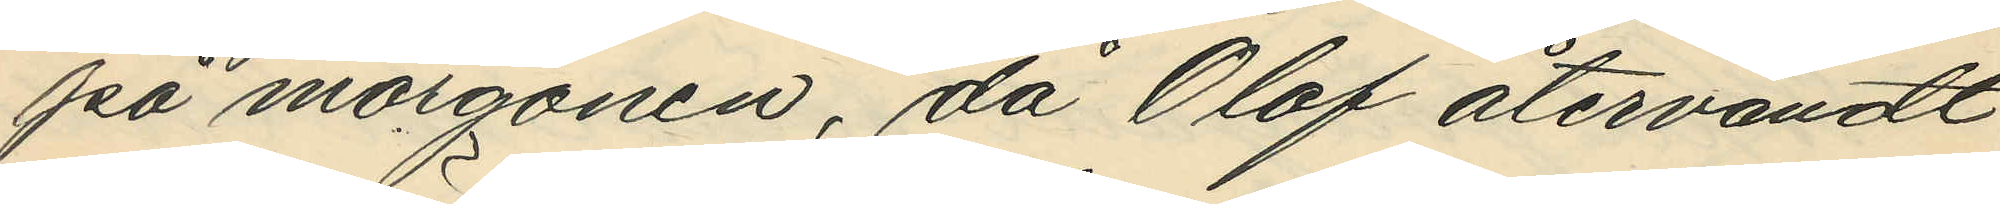på morgonen, då Olof återvändt
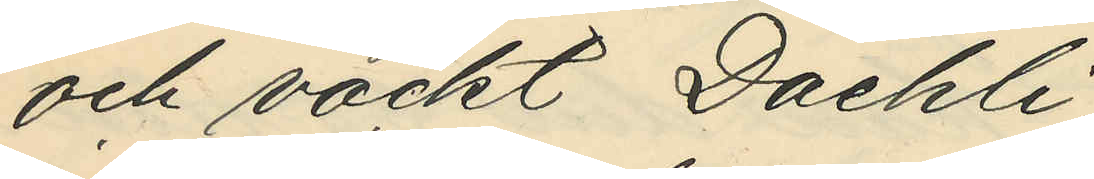och väckt Daehli;
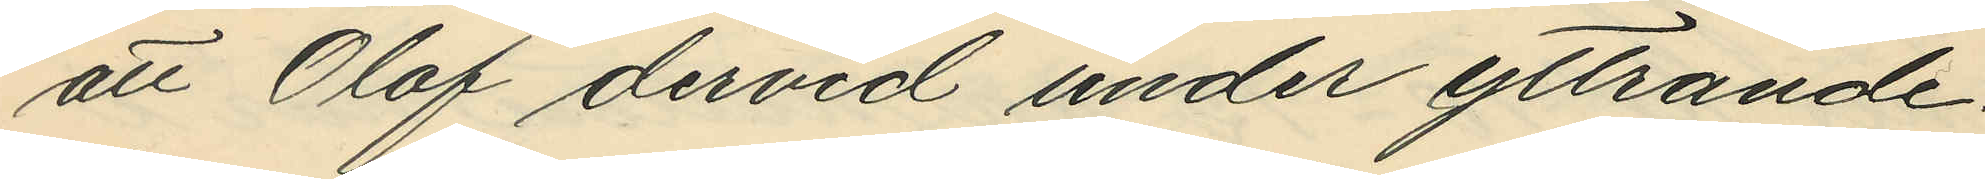att Olof dervid under yttrande:
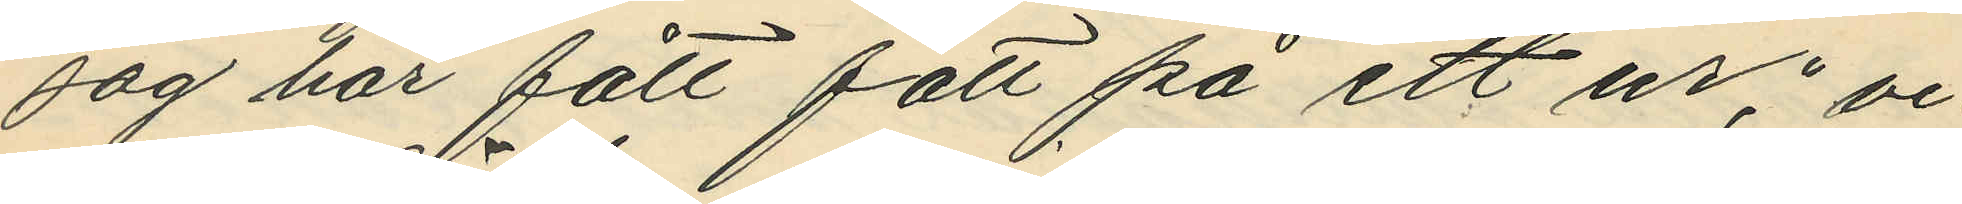"jag har fått fatt på ett ur," vi¬
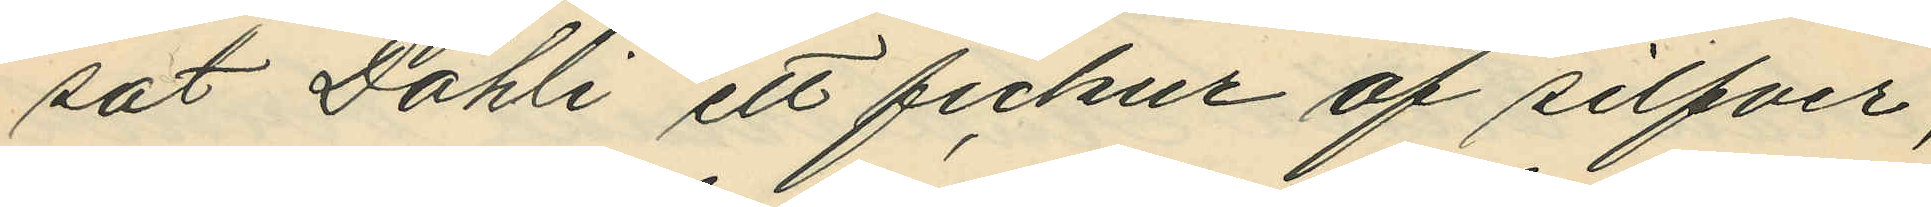sat Dähli ett fickur af silfver,
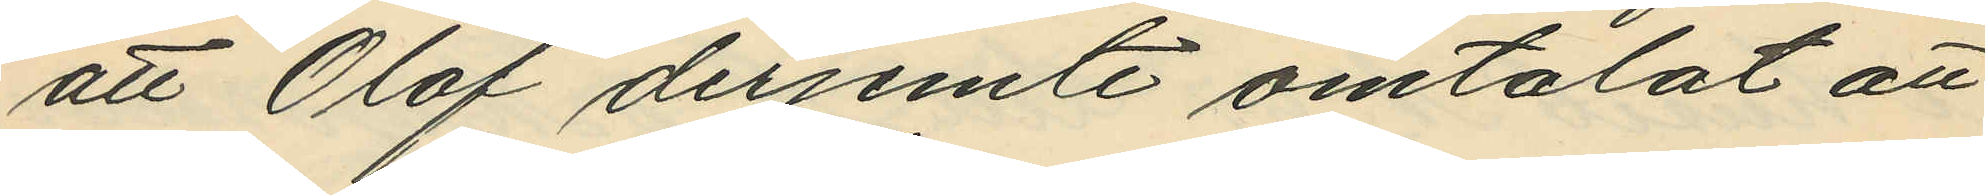att Olof derjemte omtalat att
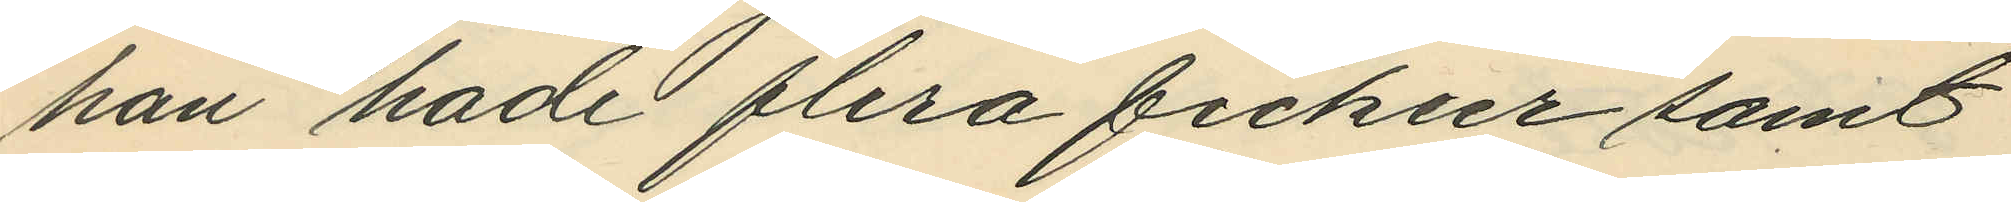han hade flera fickur samt
